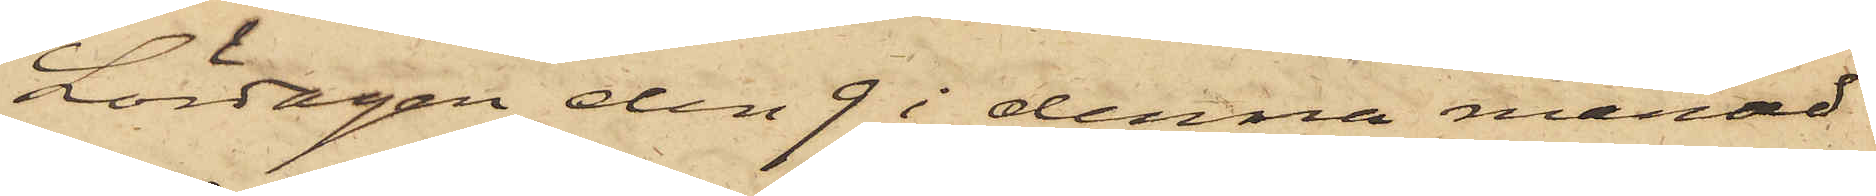Lördagen den 9 i denna månad
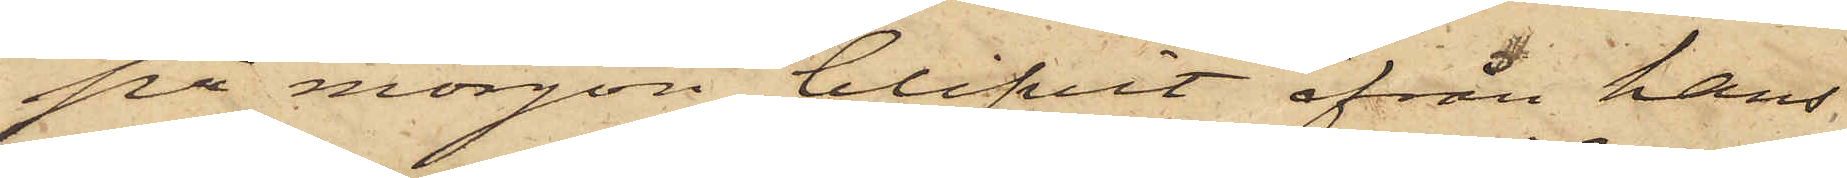på morgon blifvit ifrån hans
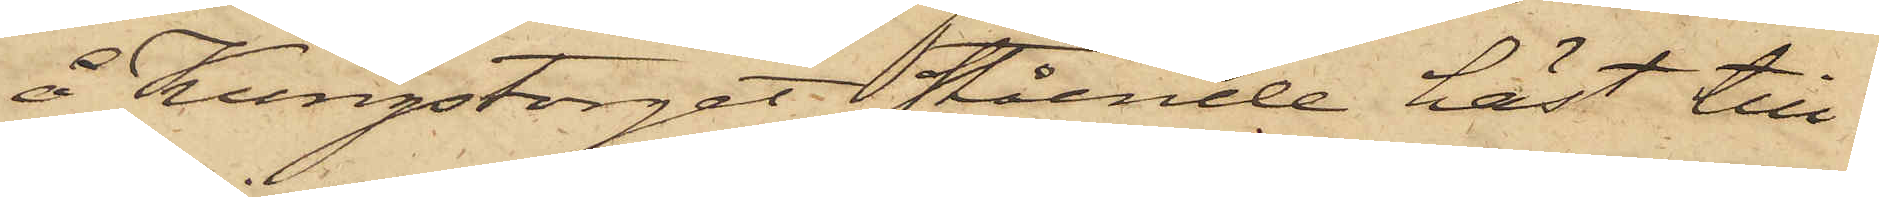å Kungstorget stående häst till¬
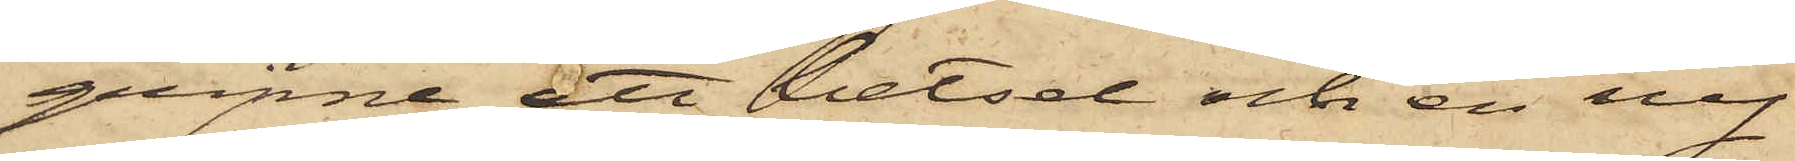gripne att betsel och en ny
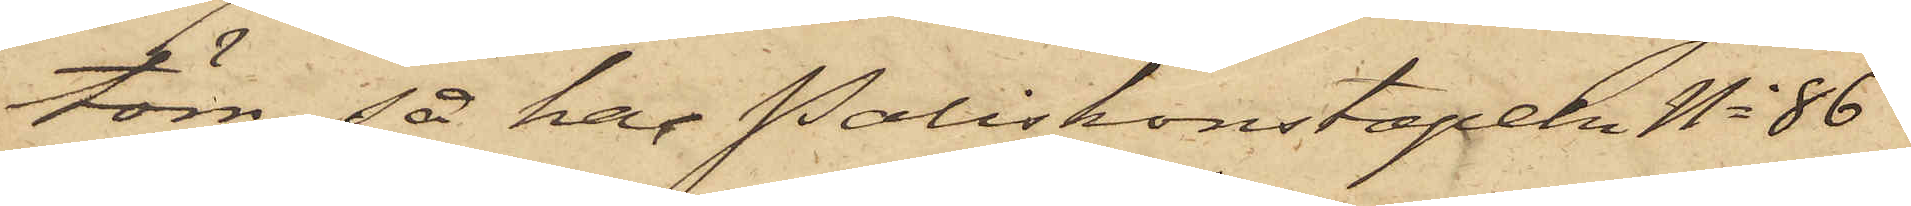töm, så har Poliskonstapeln No 86
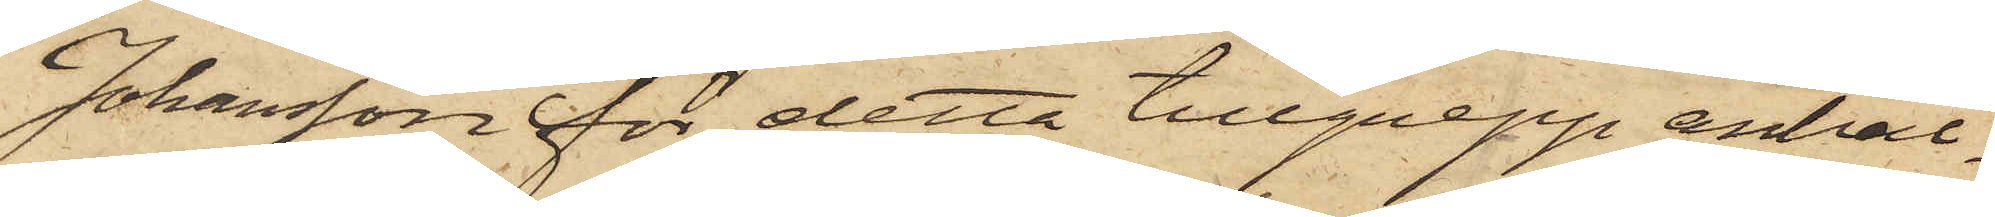Johansson för detta tillgrepp anhål¬
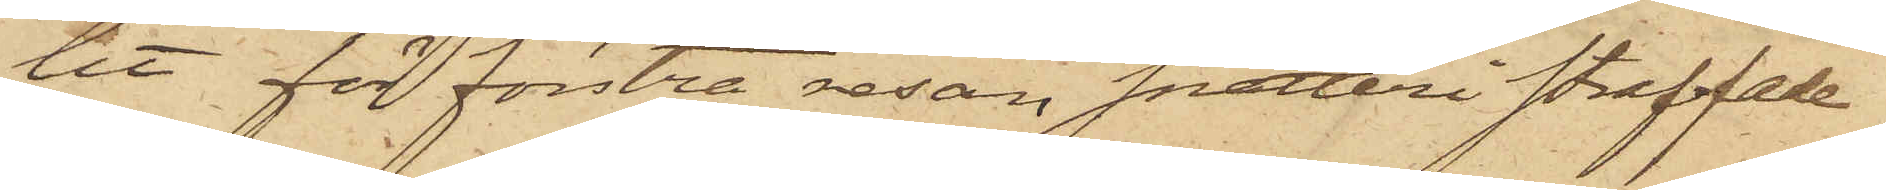tit för förstra resan snatteri straffade
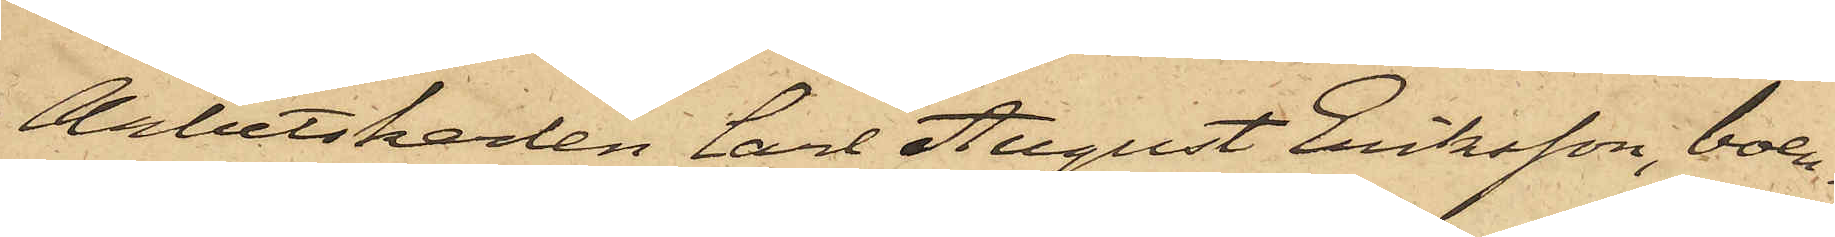Arbetskarlen Carl August Eriksson, boen¬
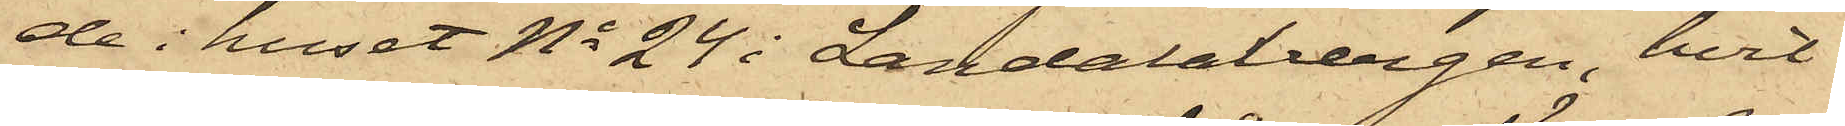de i huset No 24 i Landalabergen, hvil¬
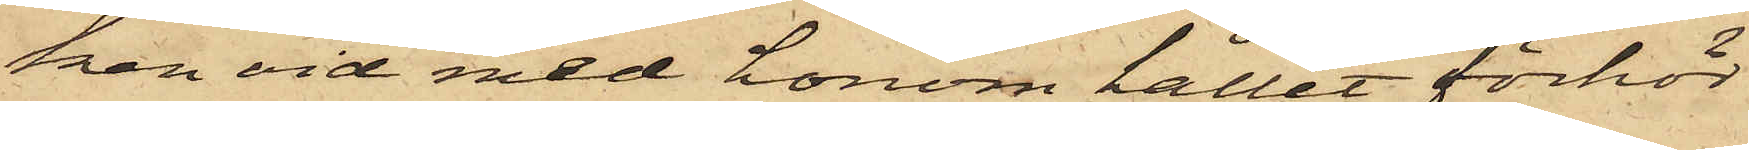ken vid med honom hållet förhör
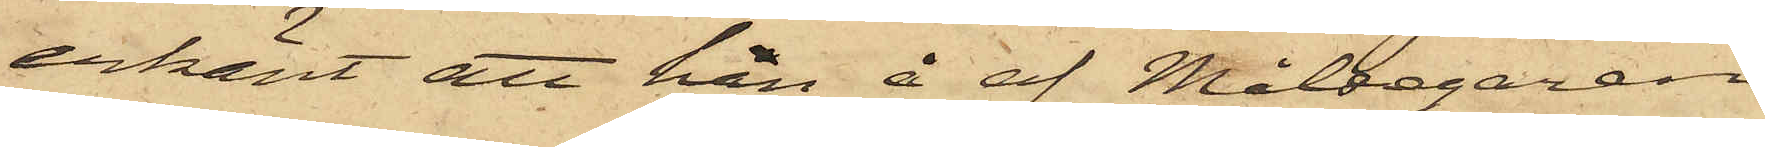erkänt att han å af Målsegaren
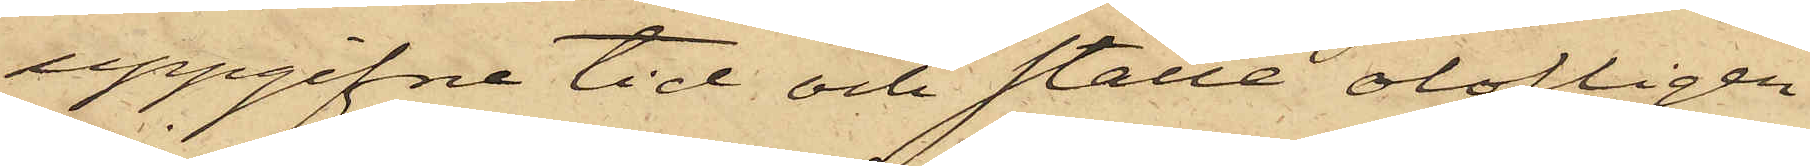uppgifne tid och ställe olofligen
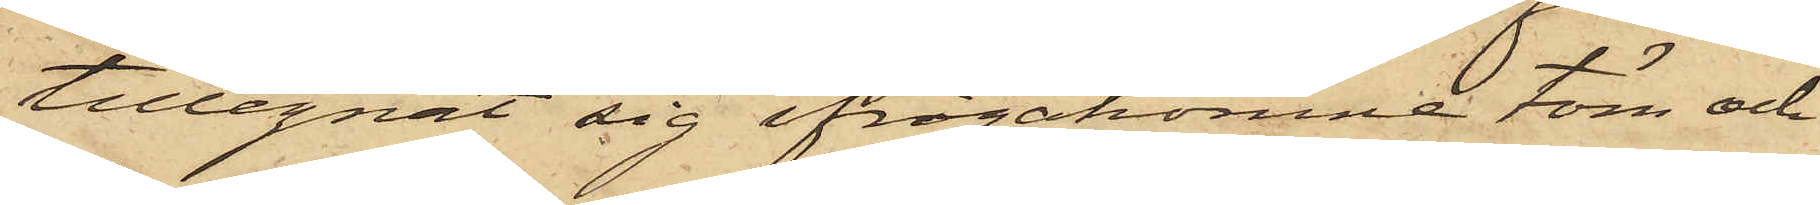tillegnat sig ifrågakomne töm och
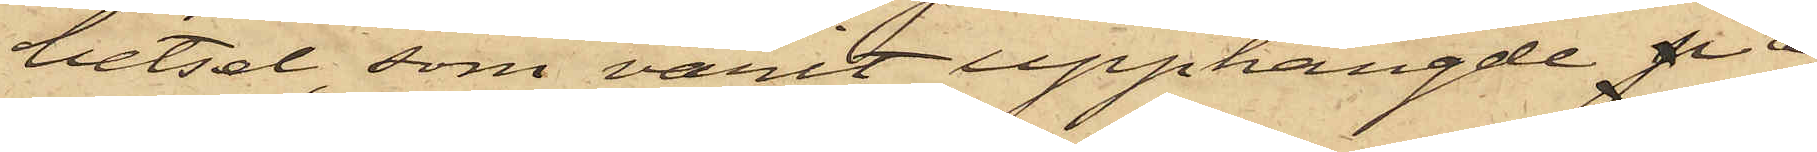betsel, som varit upphängde p å
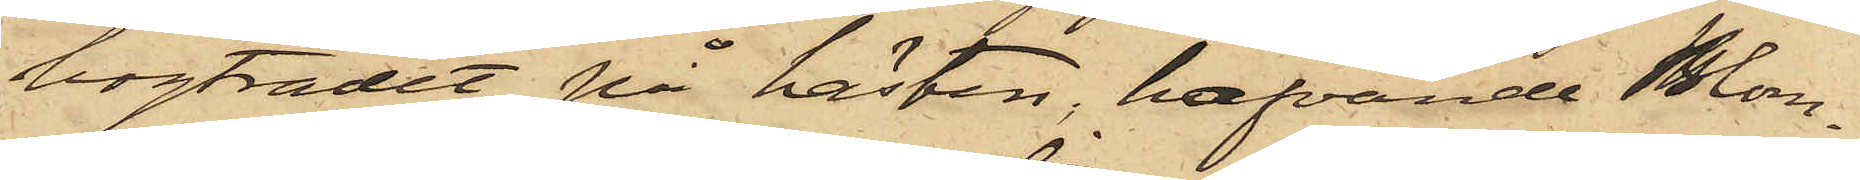bogträdet på hästen, hafvande Blom¬
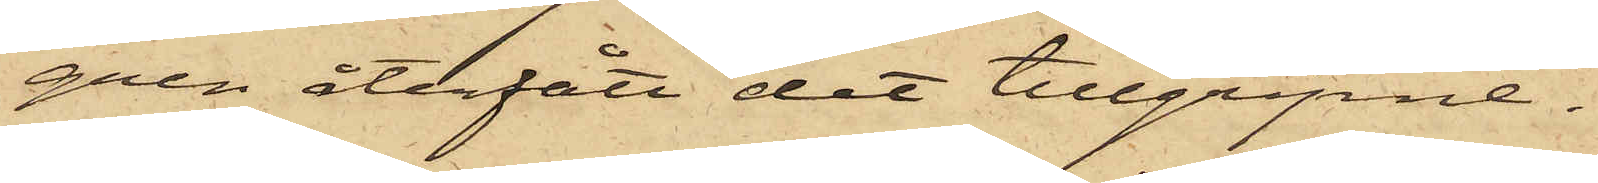gren återfått det tillgripne.
